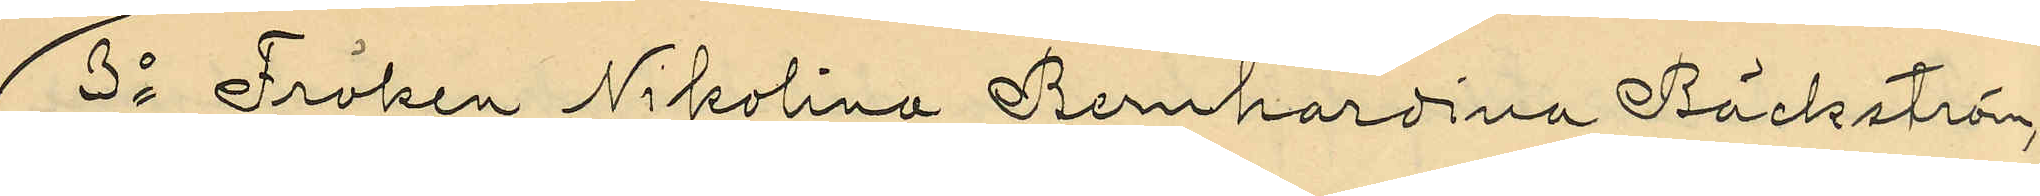3o Fröken Nikolina Bernhardina Bäckström,
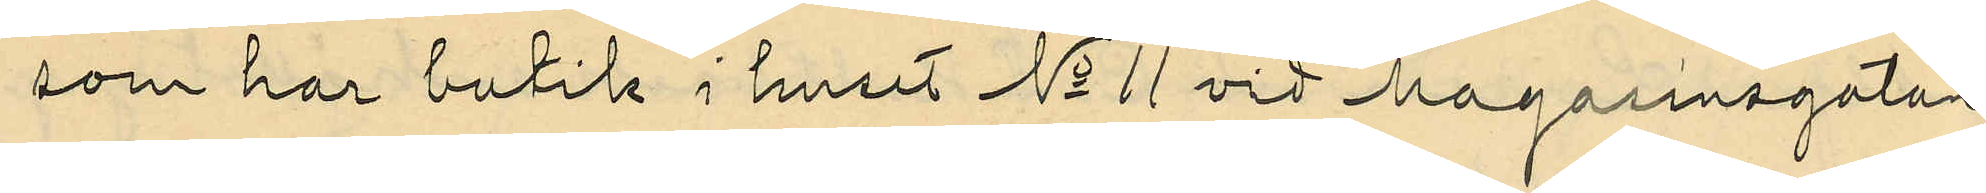som har butik i huset No 11 vid Magasinsgatan
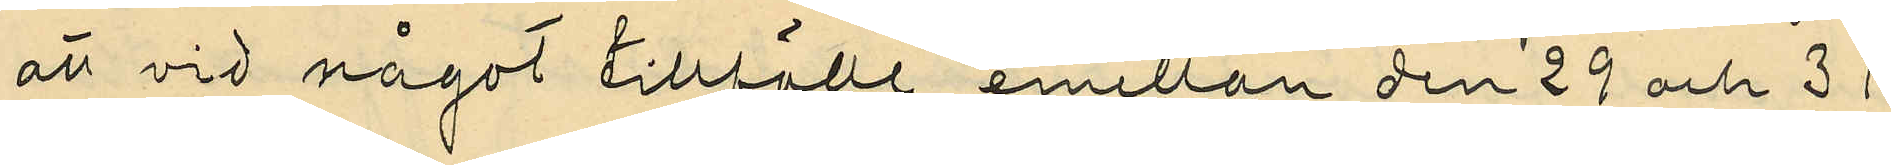att vid något tillfälle emellan den 29 och 31
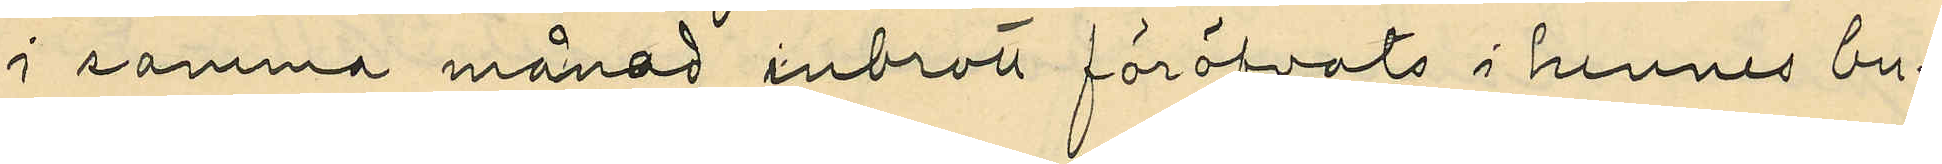i samma månad inbrott föröfvats i hennes bu¬
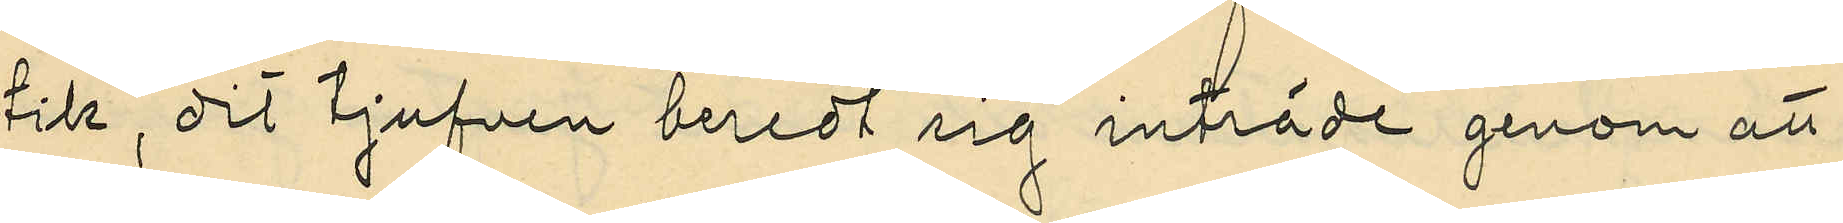tik, dit tjufven beredt sig inträde genom att
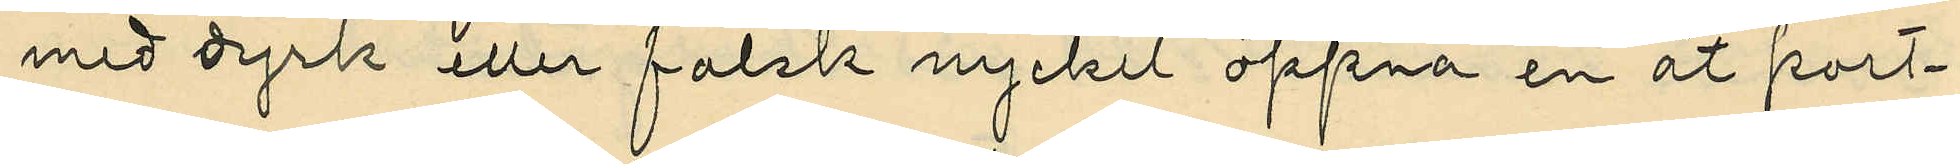med dyrk eller falsk nyckel öppna en åt port¬
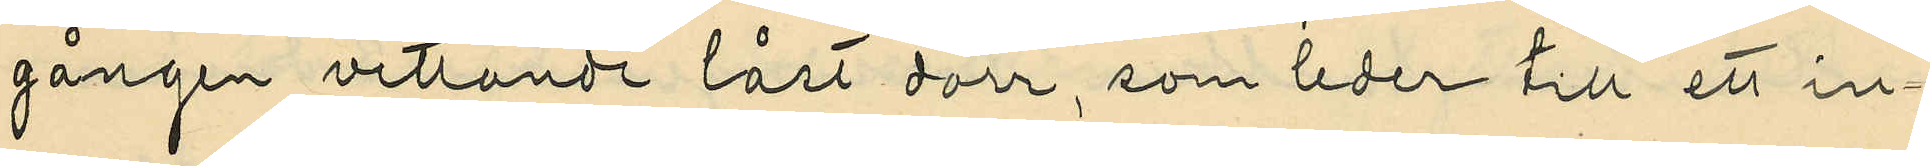gången vettande låst dörr, som leder till ett in¬
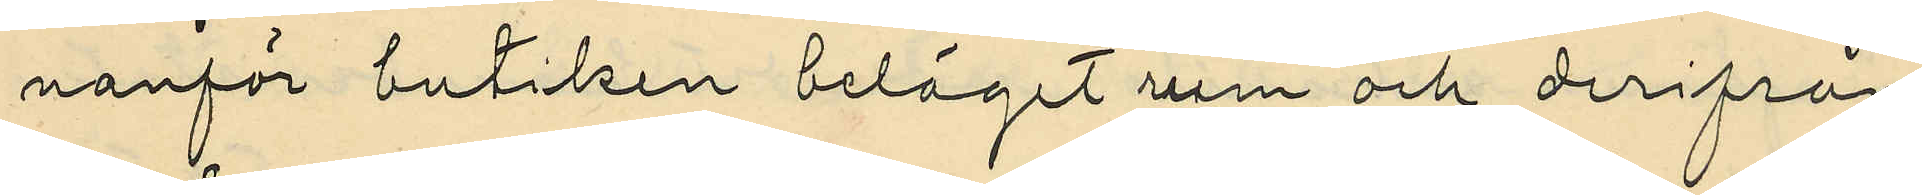nanför butiken beläget rum och derifrån
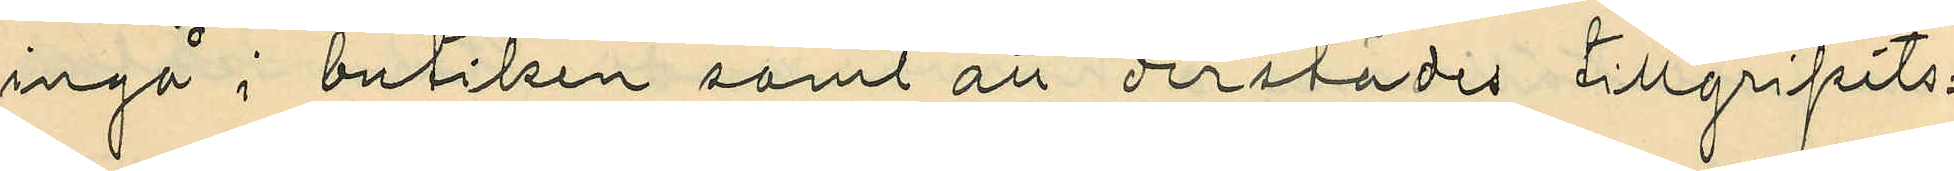ingå i butiken samt att derstädes tillgripits:
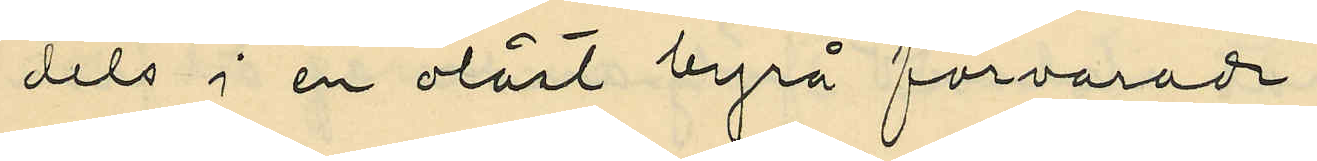dels i en olåst byrå förvarade
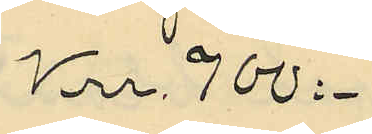Krr 900:-
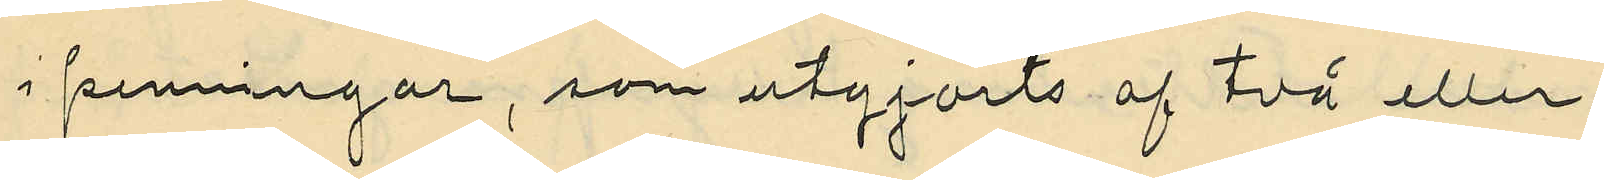i penningar, som utgjorts af två eller
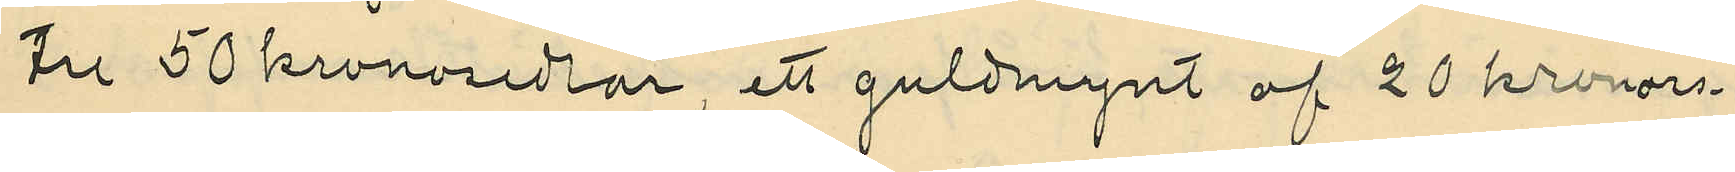tre 50 kronosedlar, ett guldmynt af 20 kronors
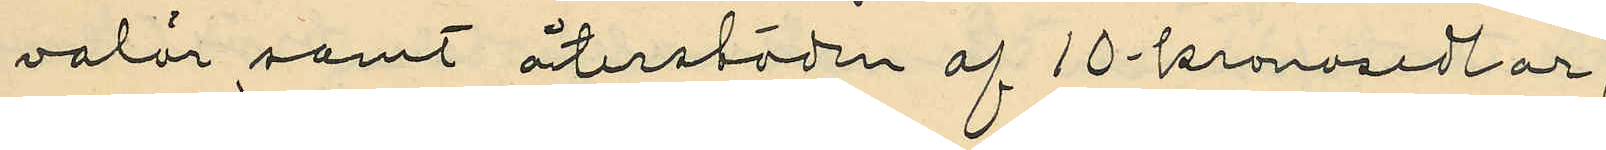valör samt återstoden af 10-kronosedlar,
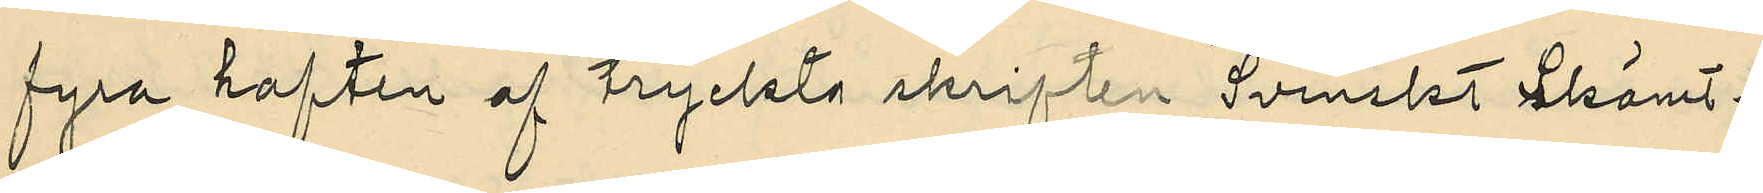fyra haften af tryckta skriften "Svenskt Skämt¬
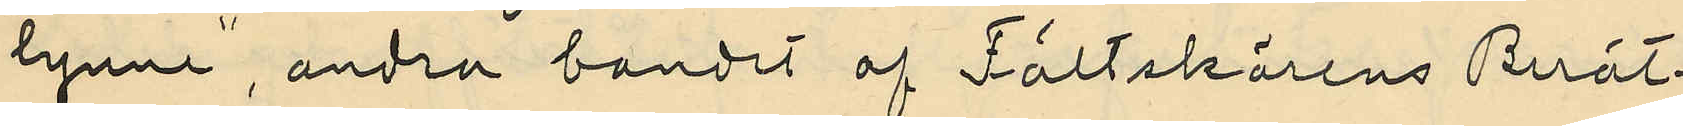lynne", andra bandet af Fältskärens Berät¬
